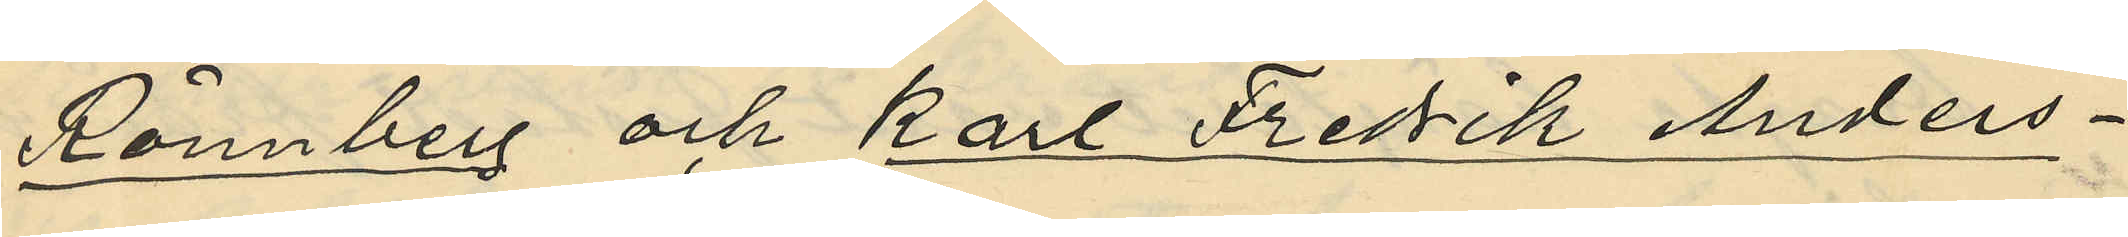Rönnberg och Karl Fredrik Anders¬
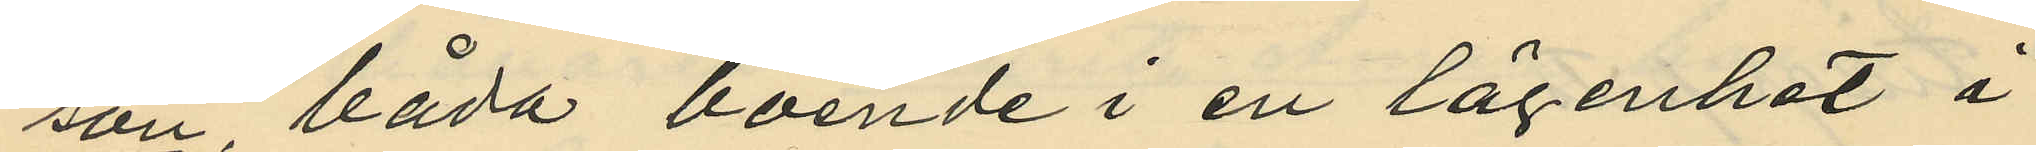son, båda boende i en lägenhet å
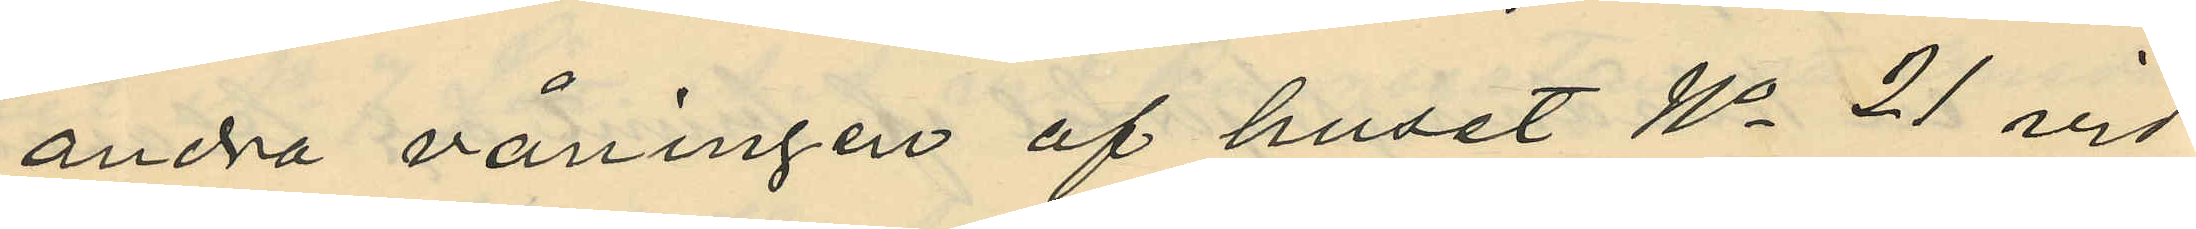andra våningen af huset No 21 vid
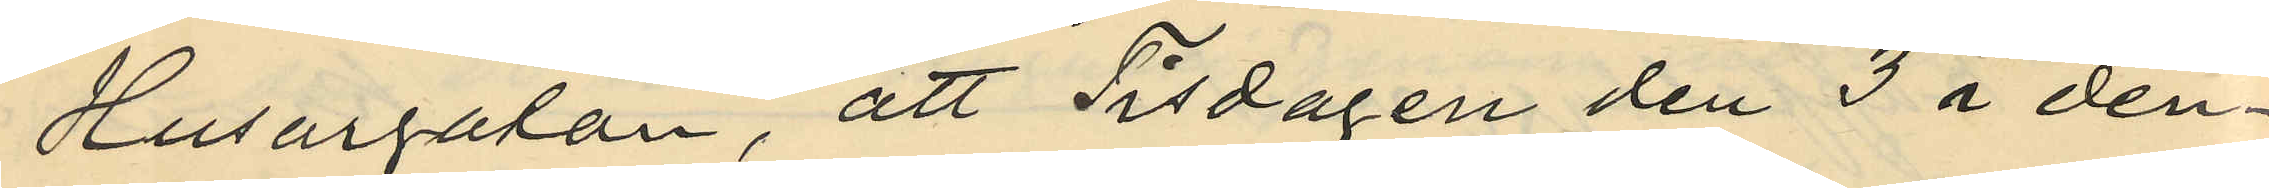Husargatan, att Tisdagen den 3 i den¬
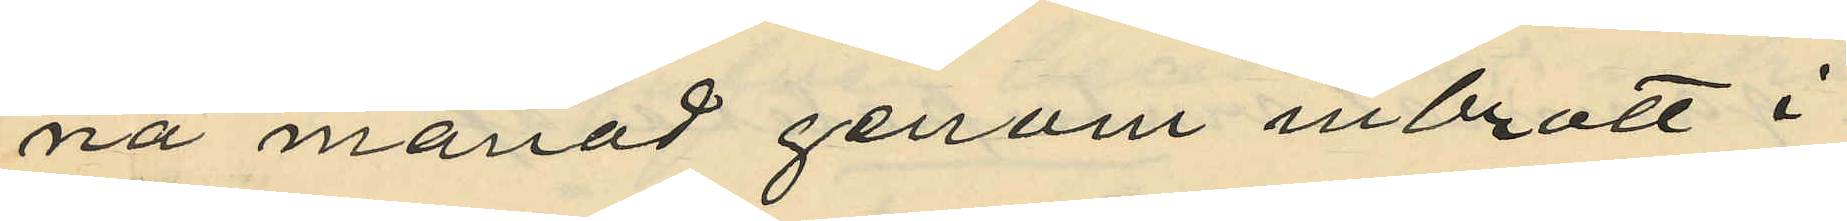na månad genom inbrott i
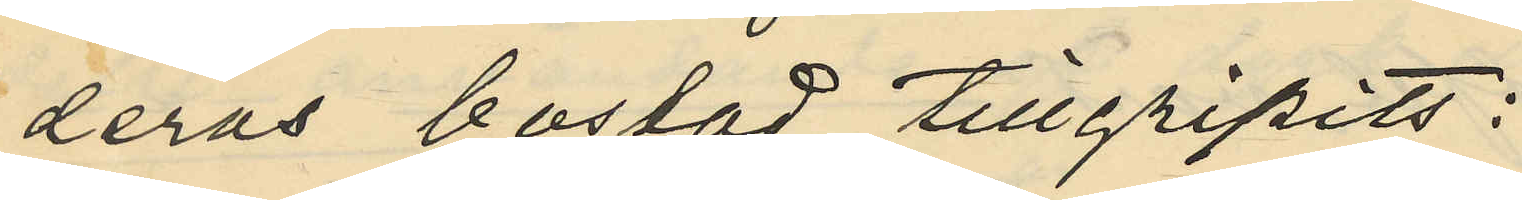deras bostad tillgripits:
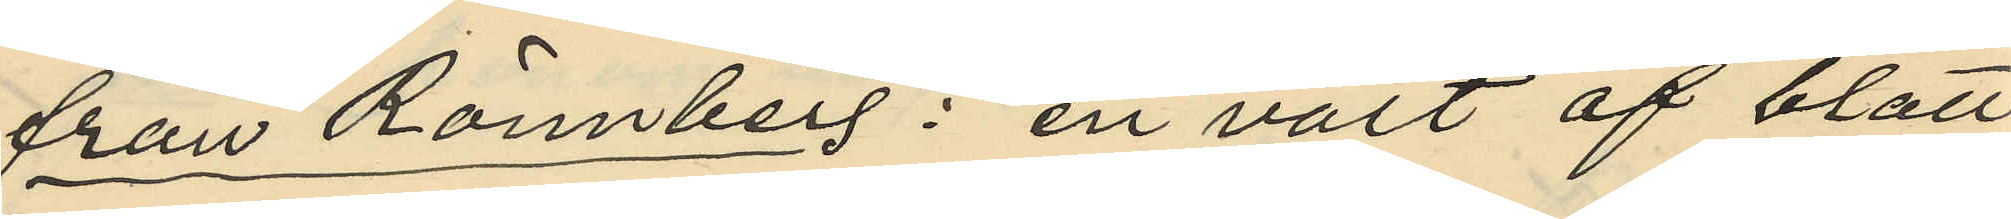från Rönnberg: en väst af blått
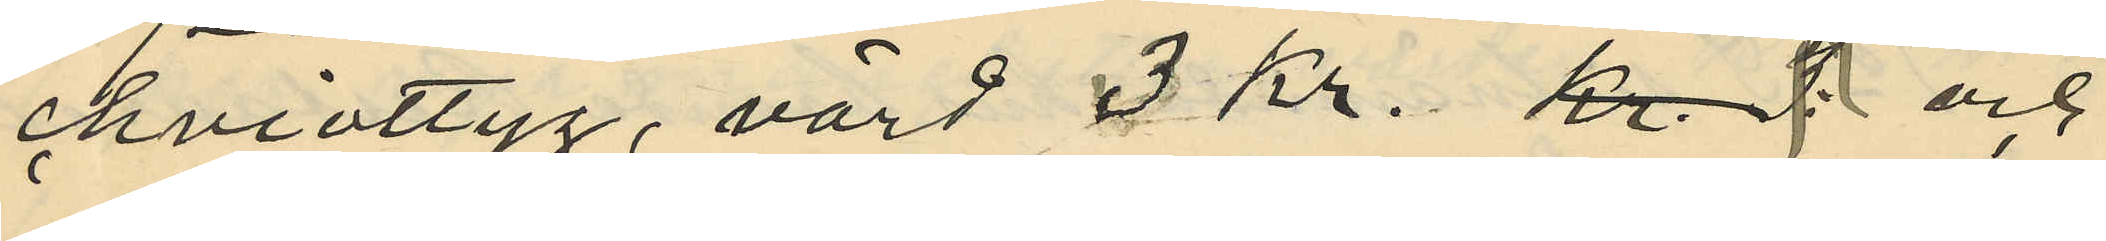cheviottyg, värd 3 Kr. och
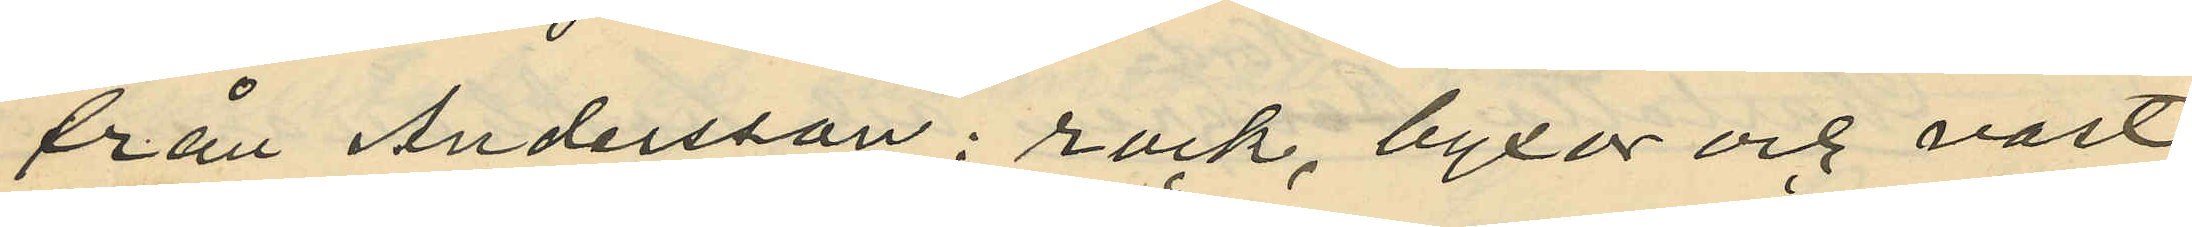från Andersson: rock, byxor och väst
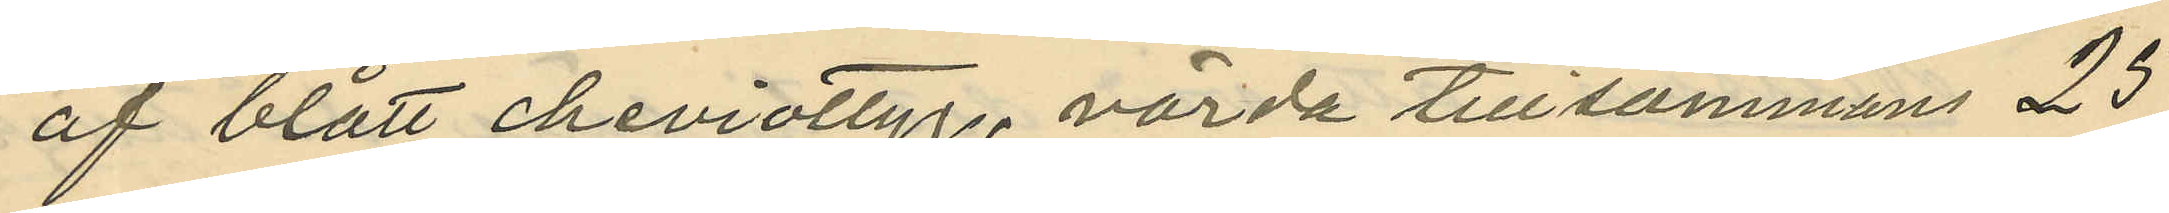af blått cheviottyg, värda tillsammans 25
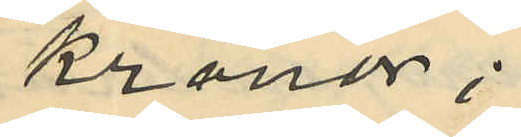kronor;
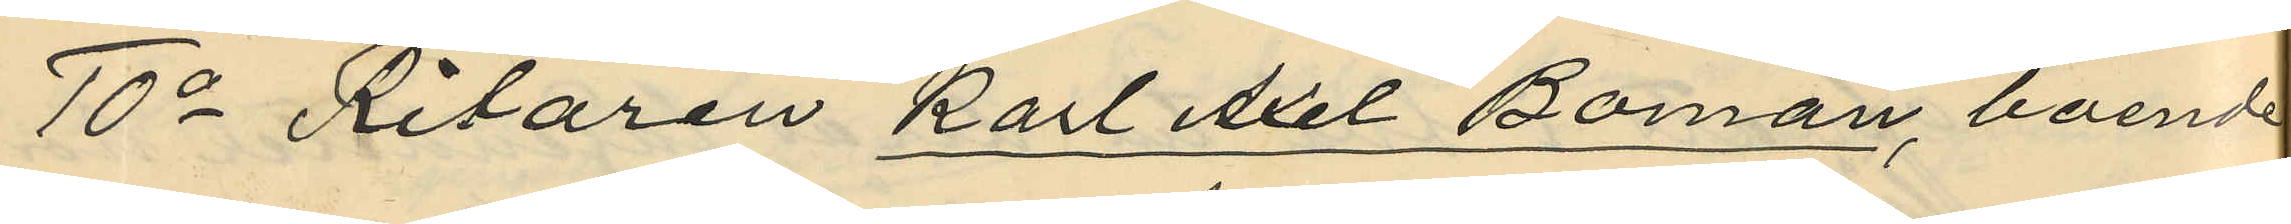10o Ritaren Karl Axel Boman, boende
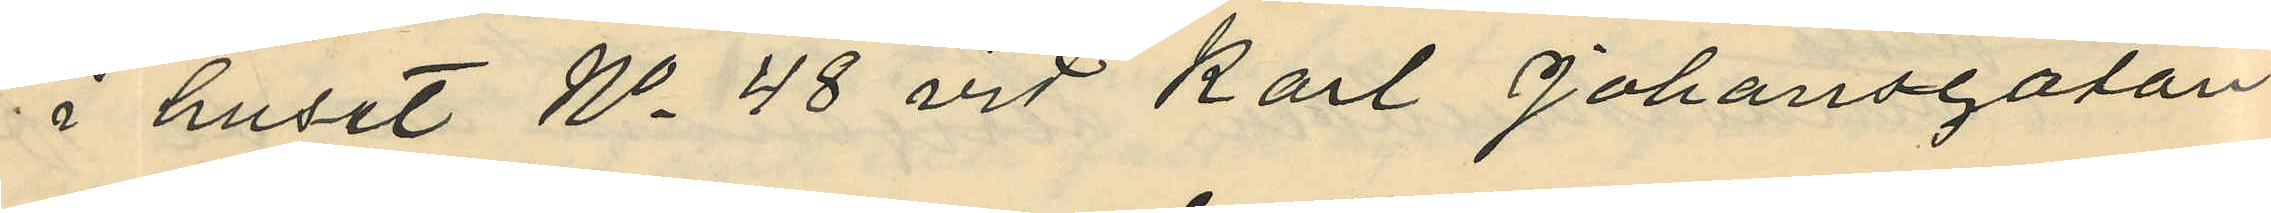i huset No 48 vid Karl Johansgatan
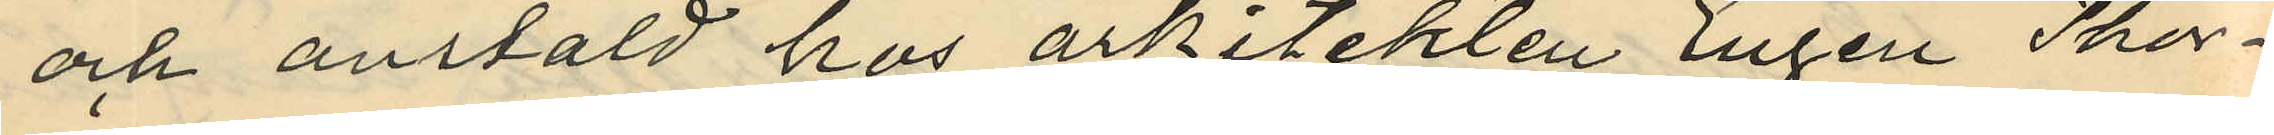och anstäld hos arkitekten Eugen Thor¬
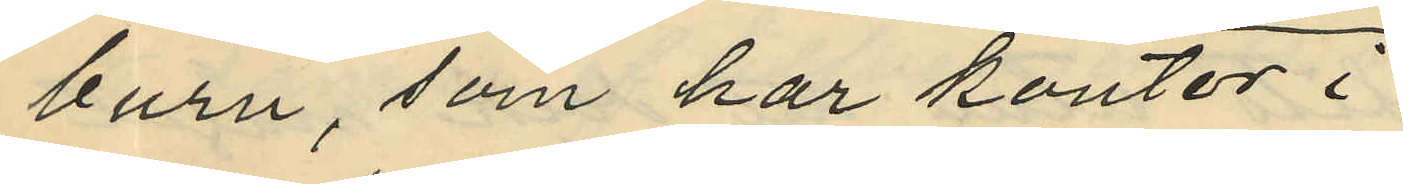burn, som har kontor i
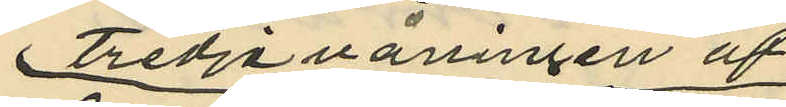tredje våningen af
